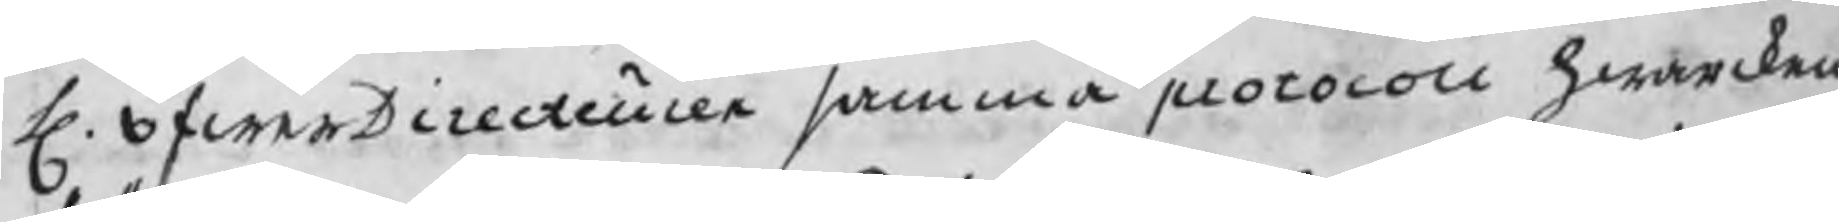H. öfwerDirecteuren samma protocoll hwarcken
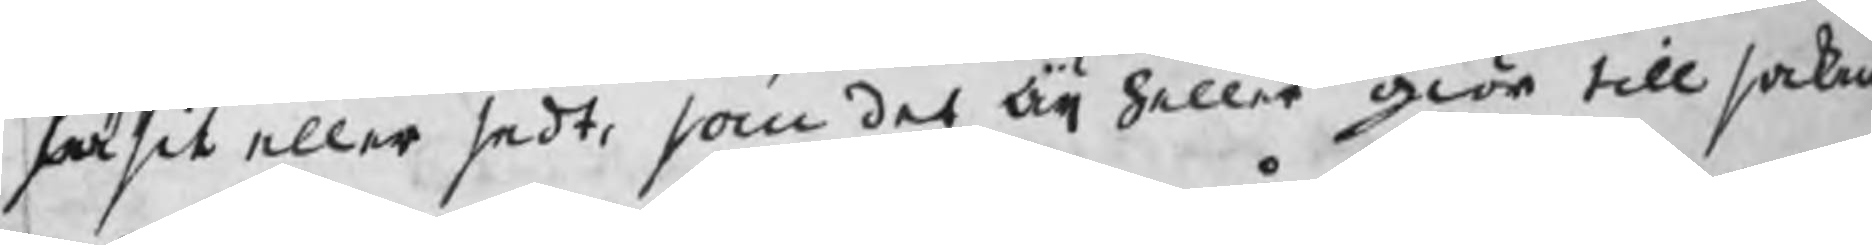säsit eller sedt, som det äij heller giör till saken
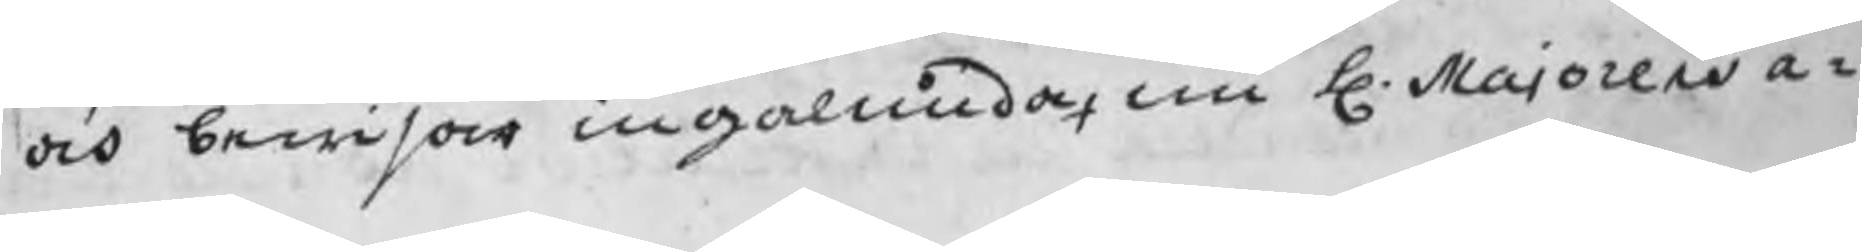a¬och bewisar ingalunda, nu H. Majoren
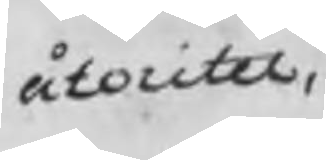åtoritet
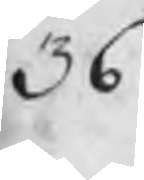36
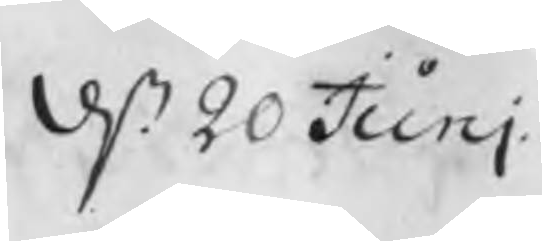d. 20 Juni
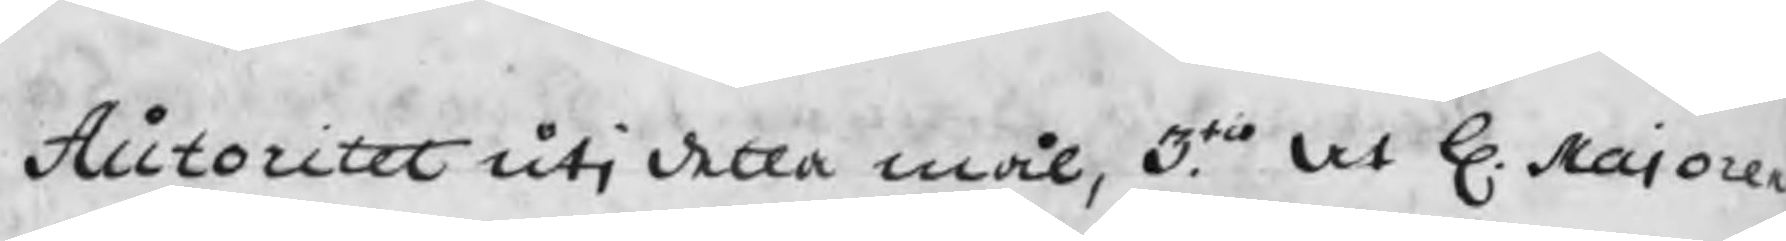Autoritet uti detta mål, 3tio. At H. Majore
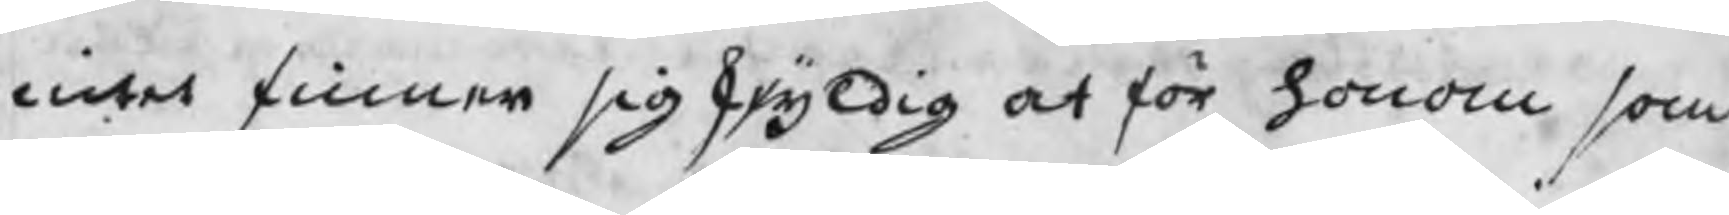intet finner sig skyldig at för honom som
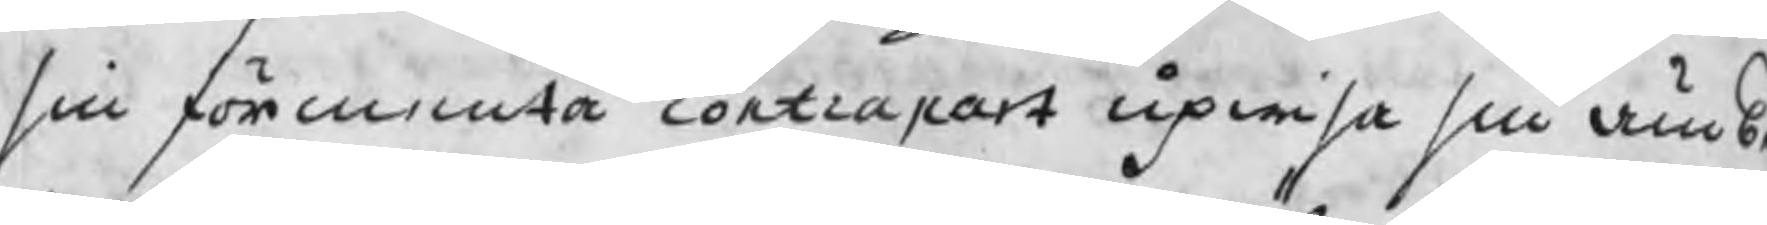sin förmenta contrapart upwisa sin ämb
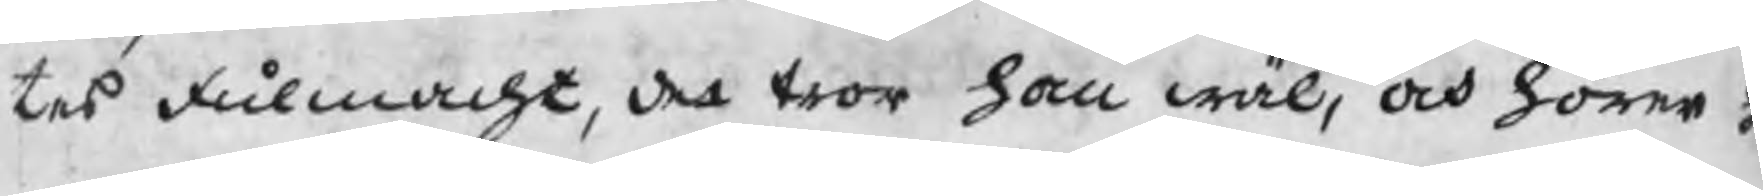tes fulmacht, det tror han wäl, och hörer h
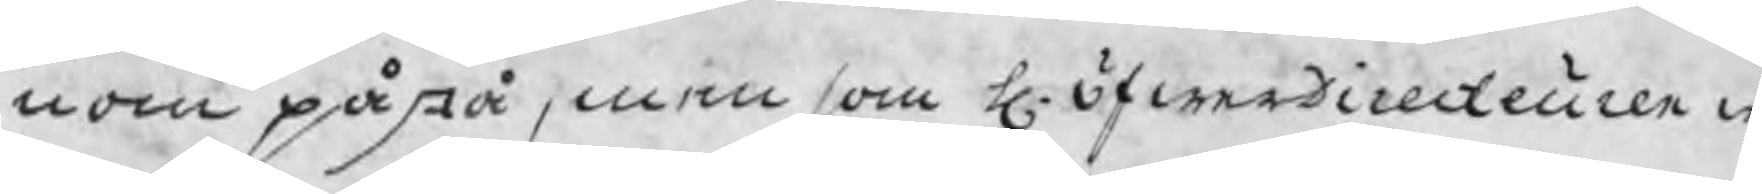nom påstå, men som H. ÖfwerDirecteuren w
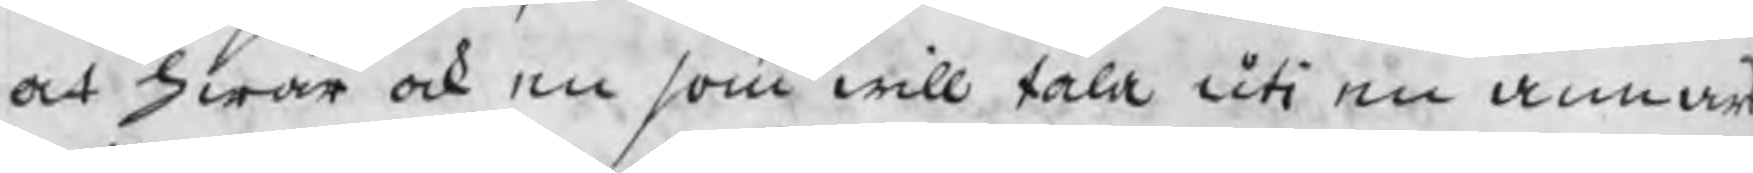at hwar ock en som will tala uti en annans
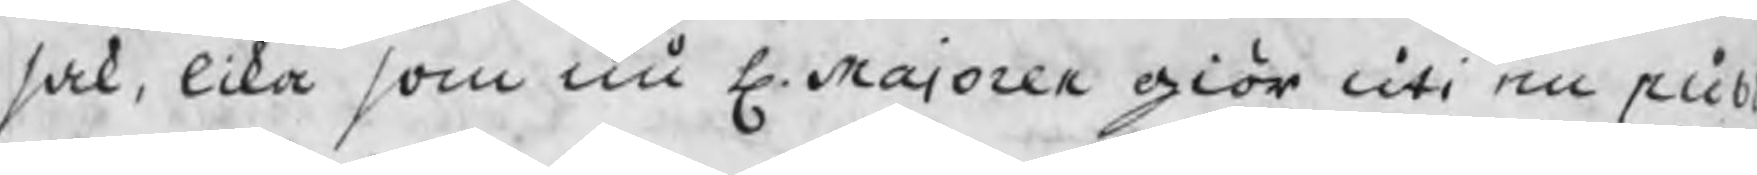sak, lika som nu H. Majoren giör uti en pub
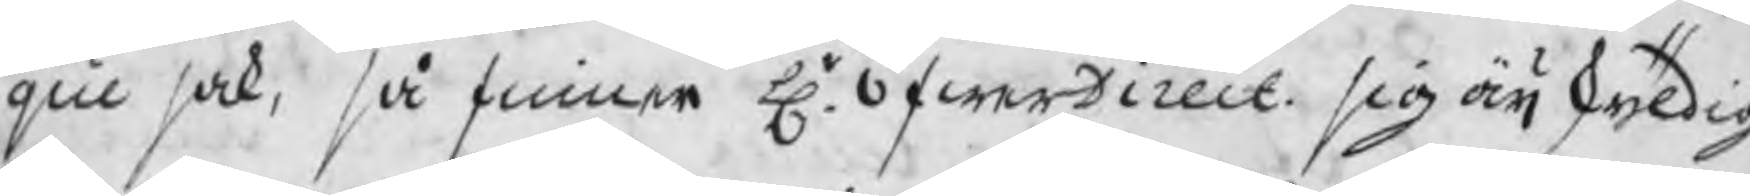que sak, så finner Hr. ÖfwerDirect. sig äij skyldig
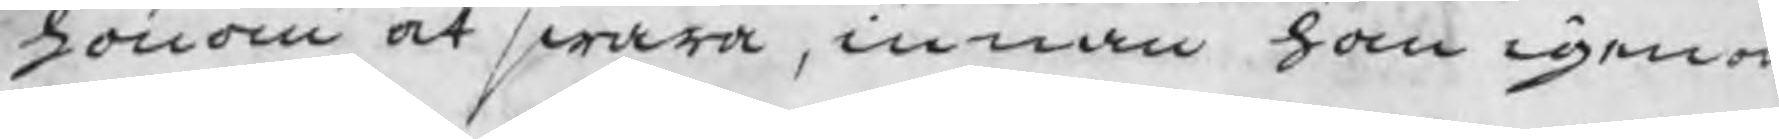honom at swara, innan han igeno
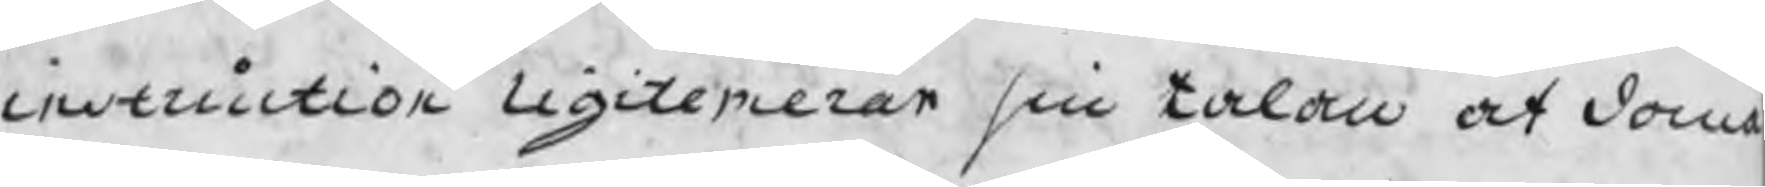instruction ligitemerar sin talan at dom
